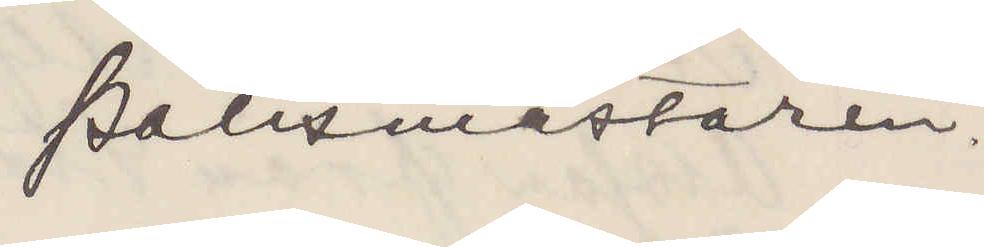Polismästaren.
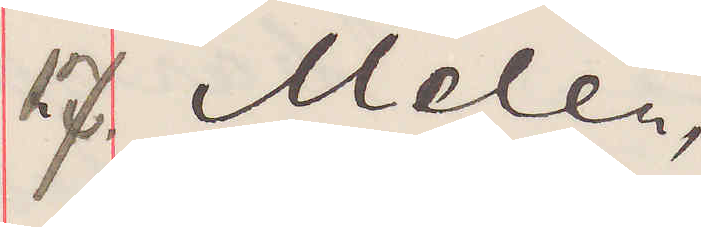17. Melén,
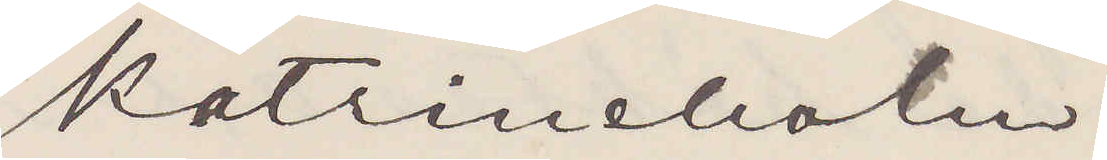Katrineholm.
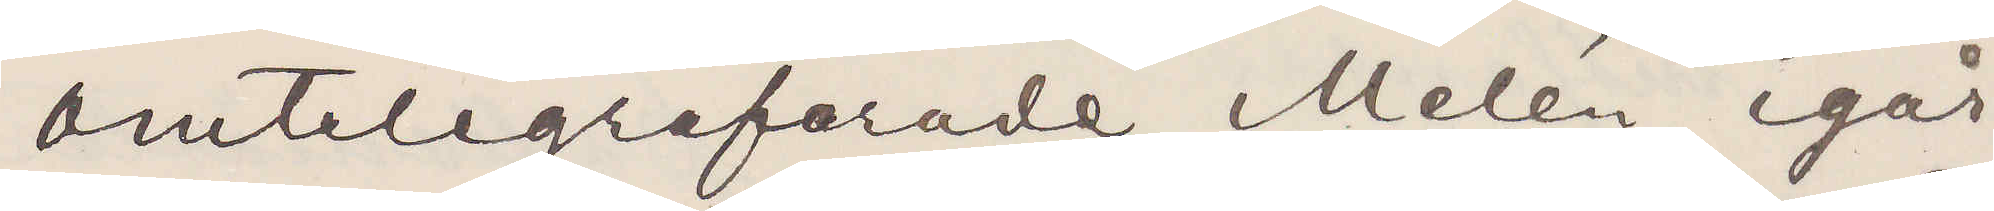Omtelegraferade Melén igår
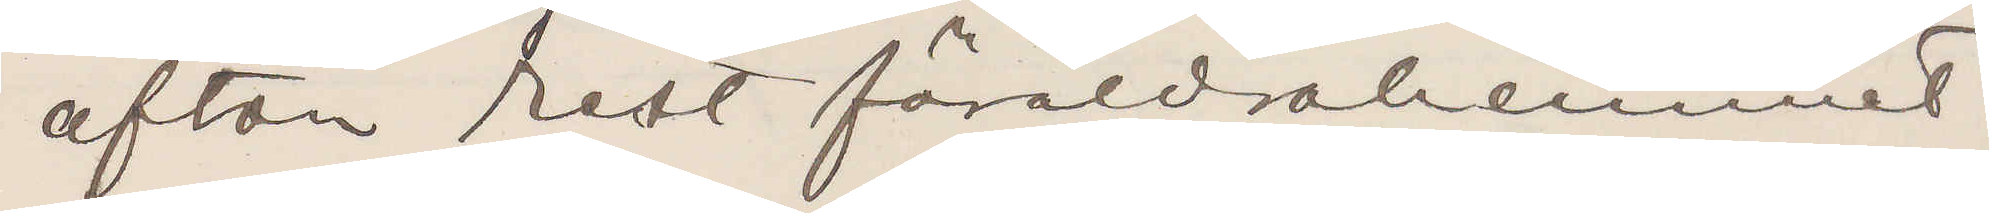afton rest föräldrahemmet.
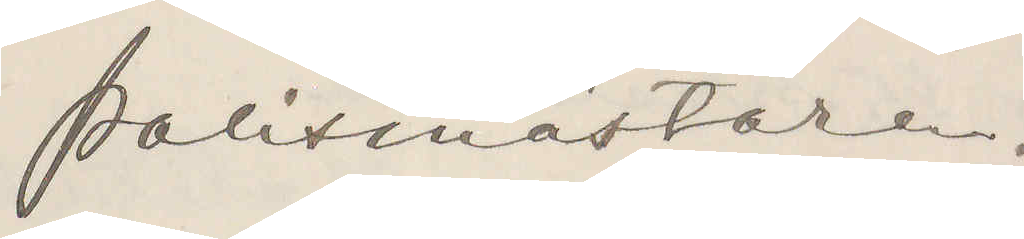Polismästaren.
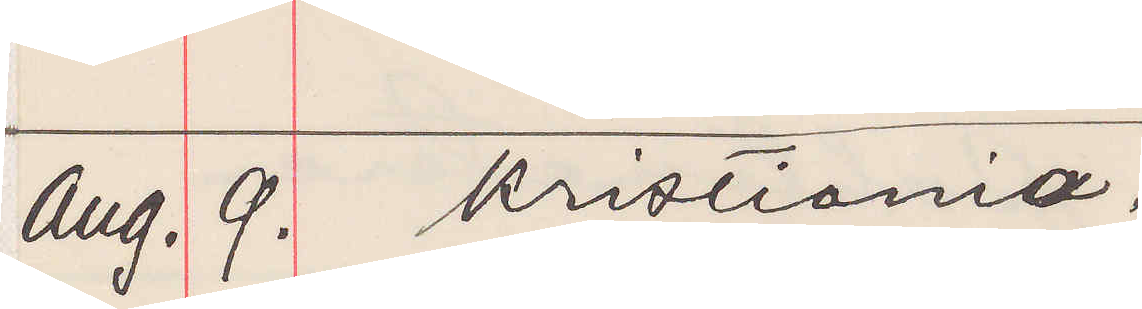Aug. 9. Kristiania.
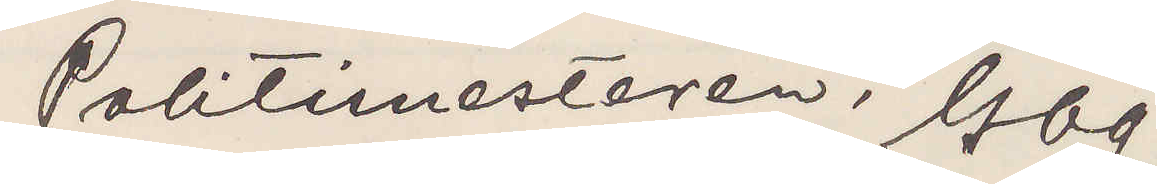Politimesteren, Gbg.
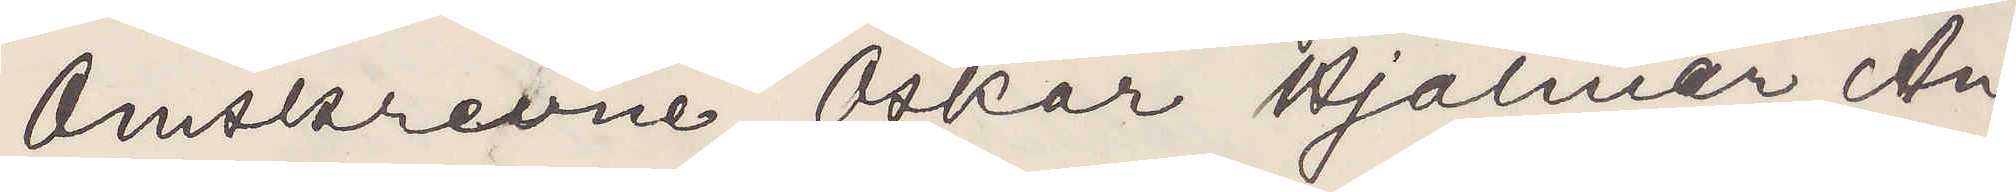Omskrevne Oskar Hjalmar An¬
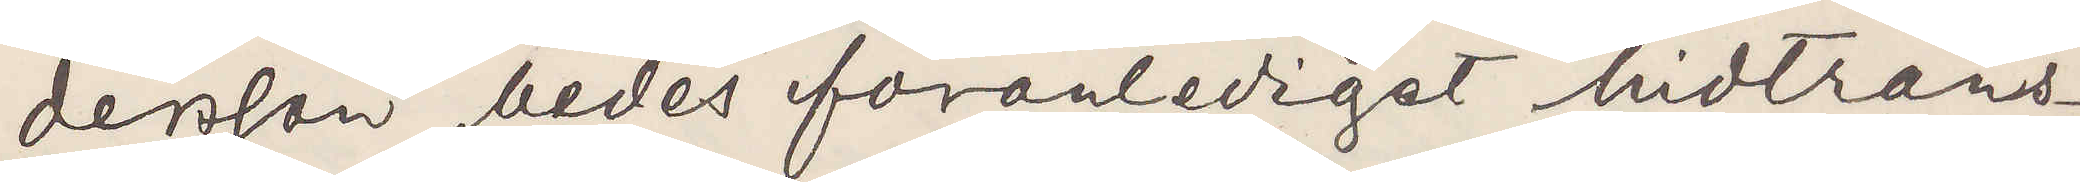dersson bedes foranledigst hidtrans¬
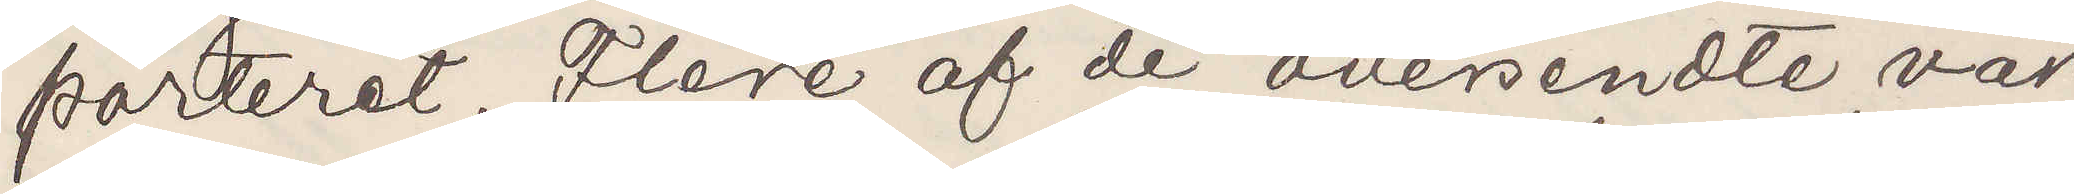porteret. Flere af de avessendte vär¬
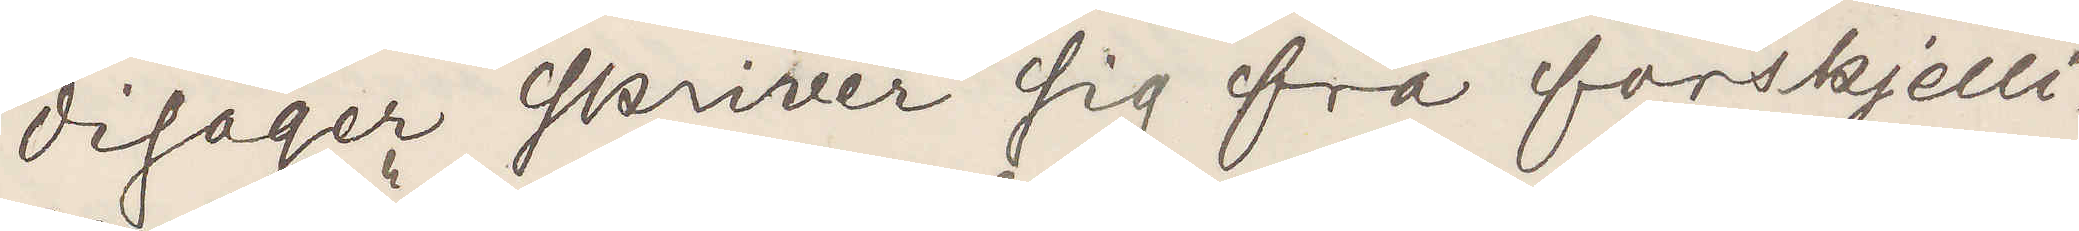disager skriver sig fra forskjelli¬
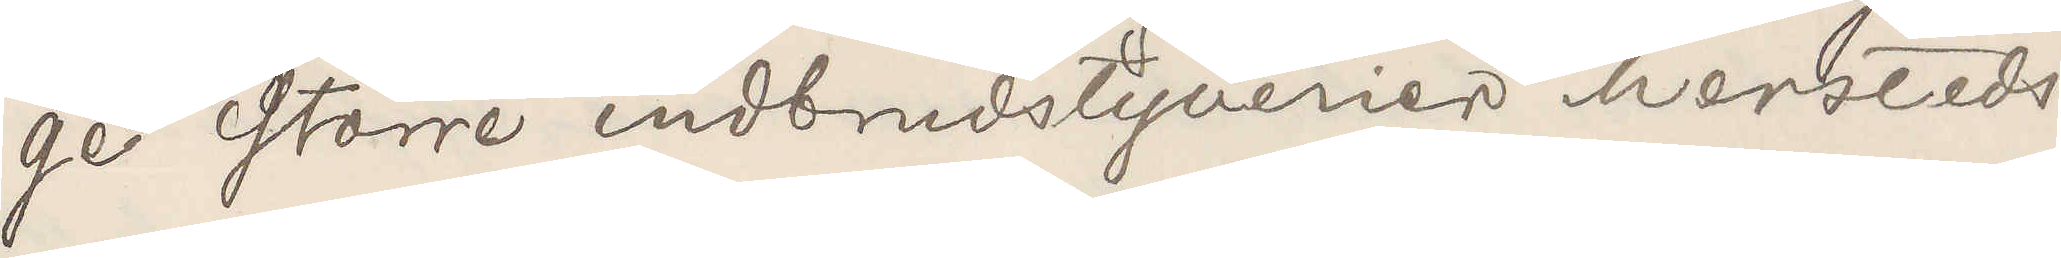ge större indbrudstyverier hersteds.
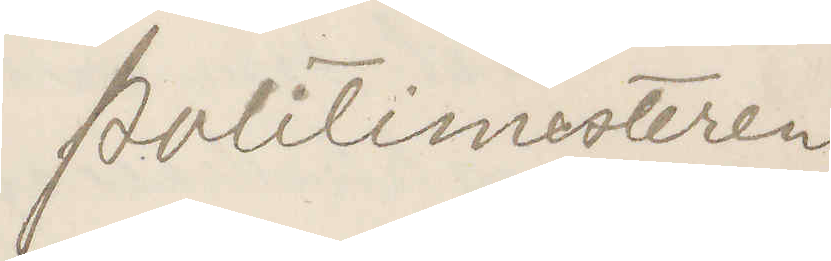Politimesteren.
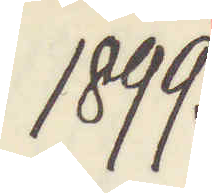1899.
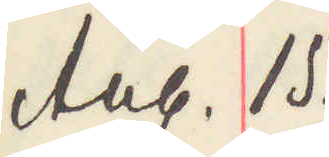Aug. 15.
